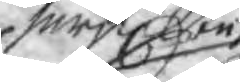särskilte
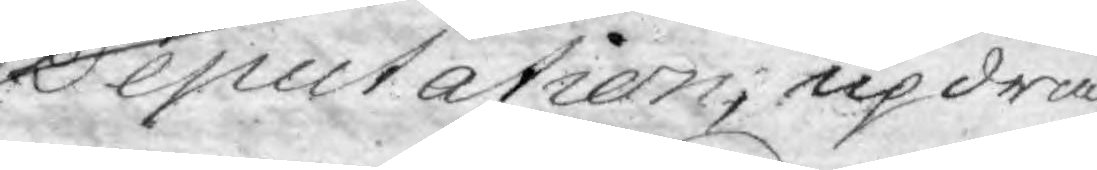Deputation, updra¬
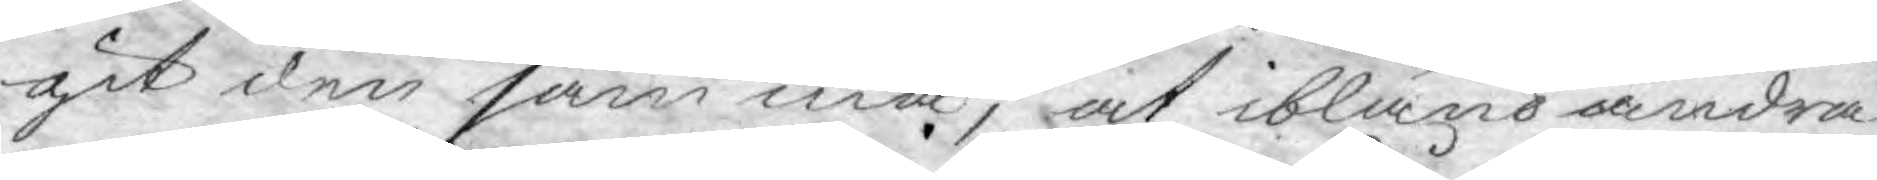git den samma, at ibland andra
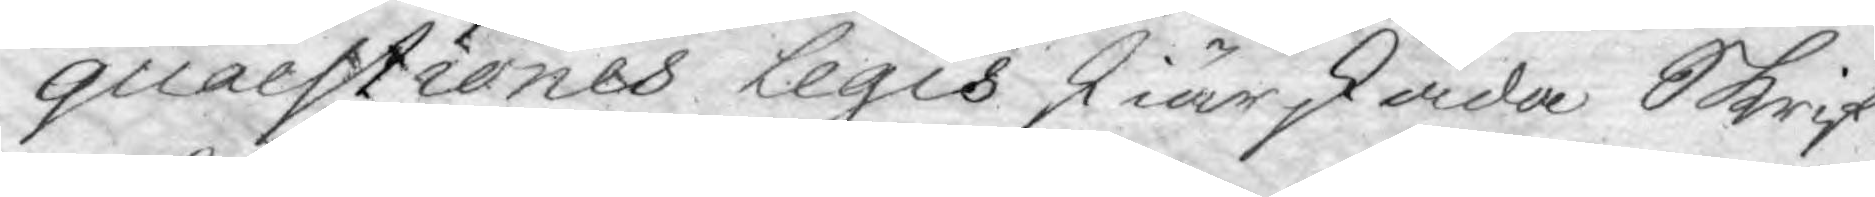quaestiones Legis skiärskåda Skrif¬
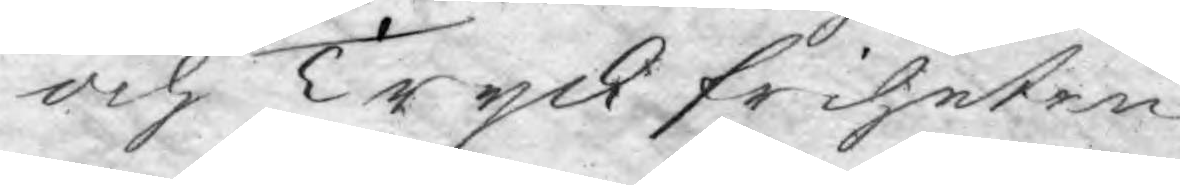och Tryckfriheten.
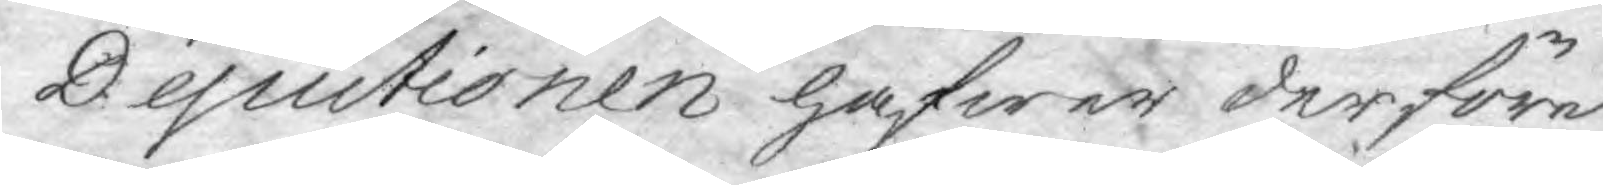Deputionen hafwer derföre
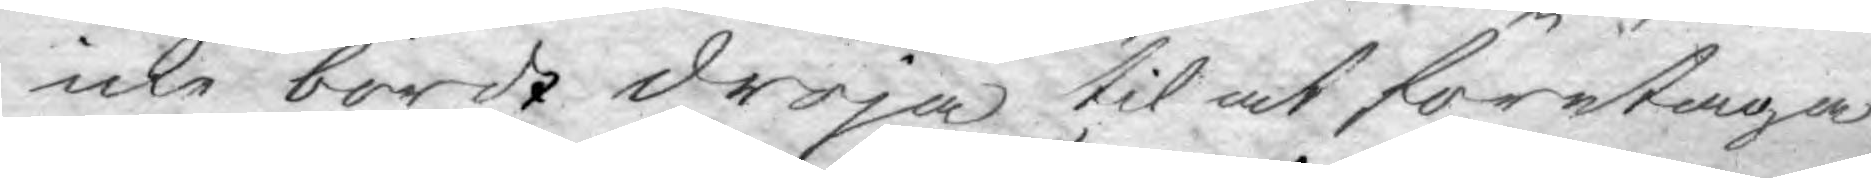icke bordt dröja til at företaga
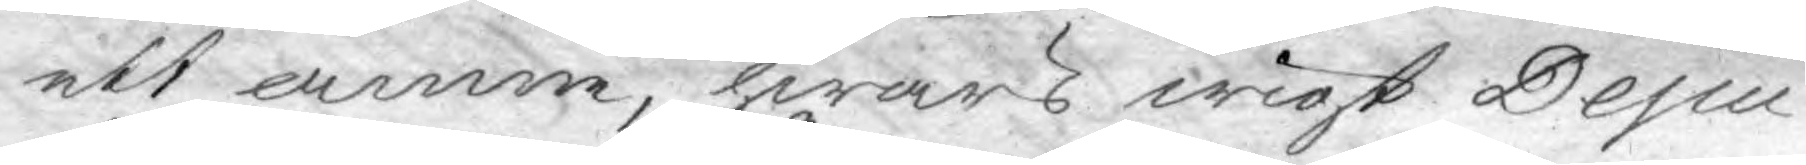ett ämne, hwars wigt Depu¬
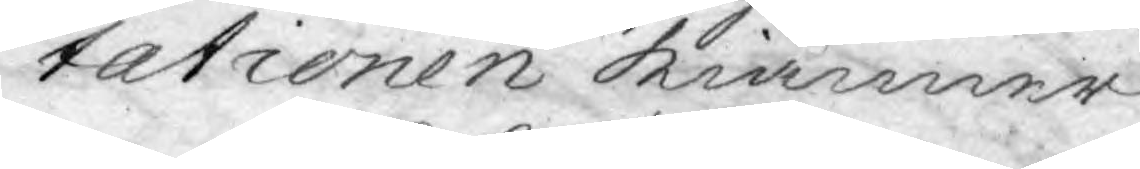tationen kiänner.
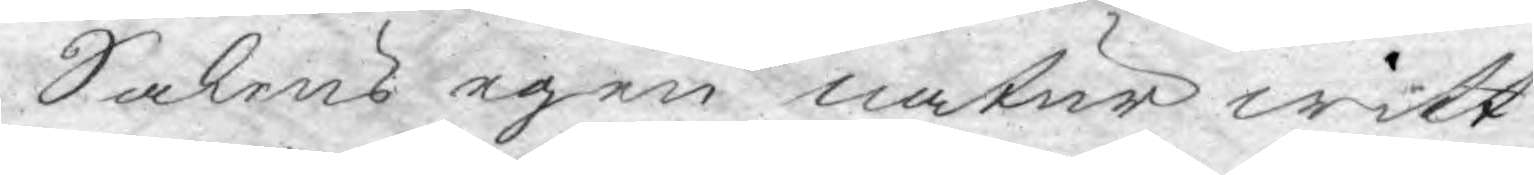Sakens egen natur witt¬
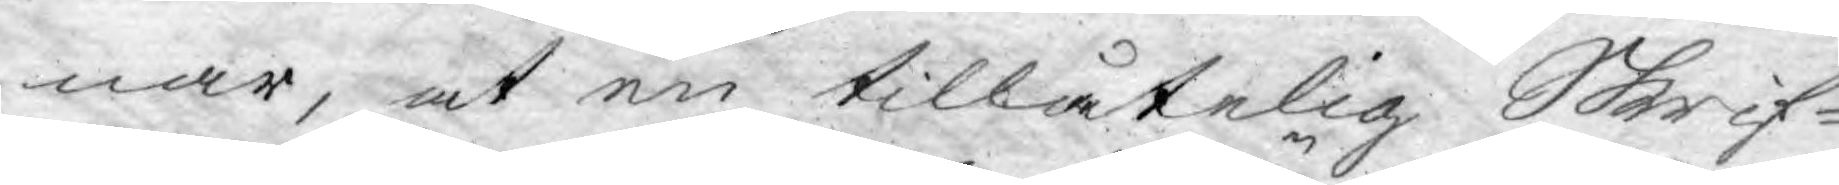nar, at en tillåtelig Skrif¬
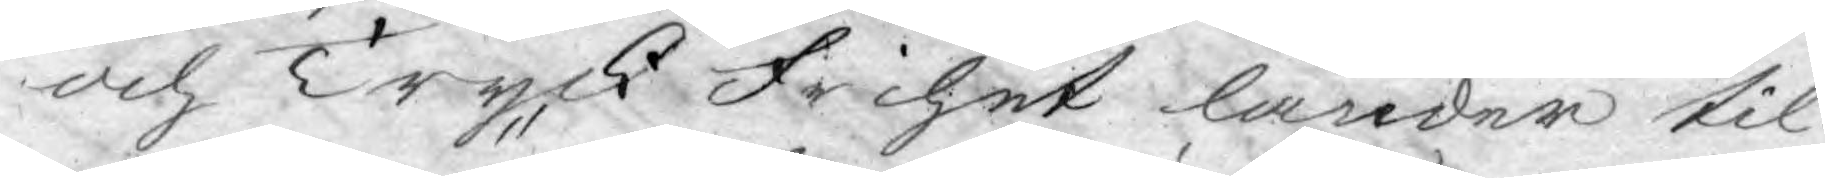och Tryck frihet länder til
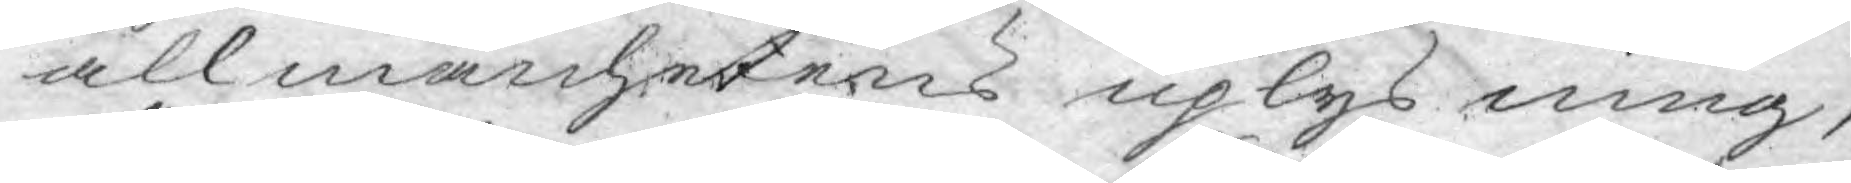allmänhetens uplysning,
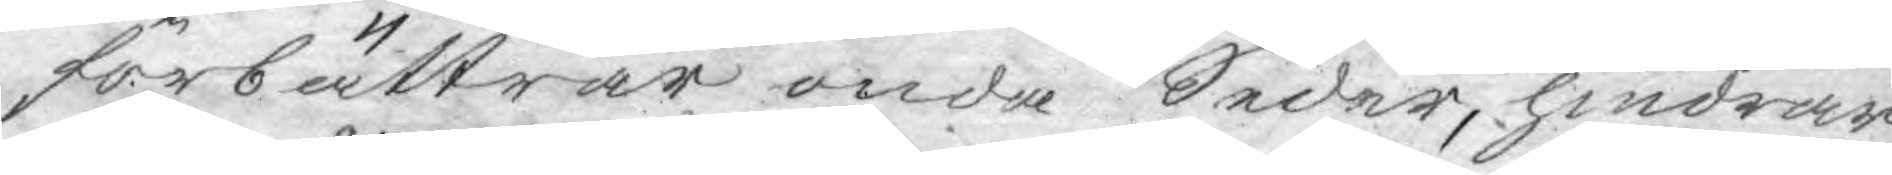förbättrar onda Sedar, hindrar
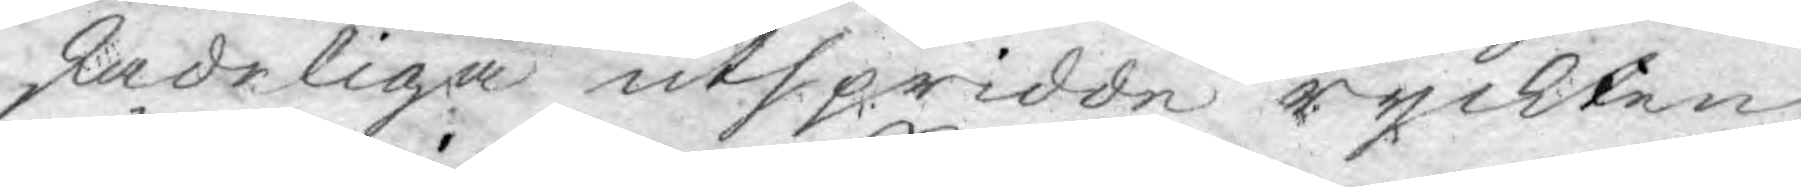skadeliga utspridde ryckten,
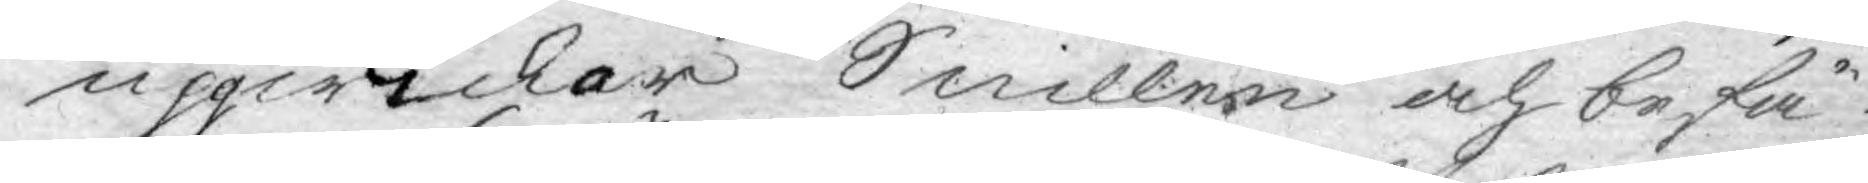uppwickar Snillen och befä¬
